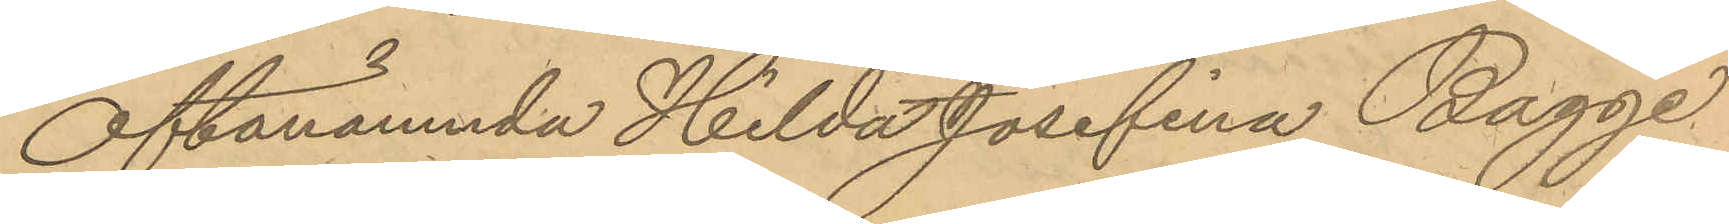Oftanämnda Hilda Josefina Bagge
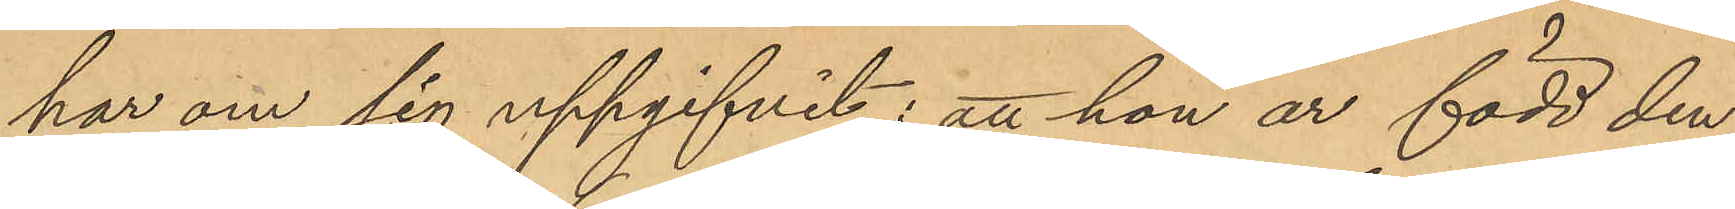har om sig uppgifvit: att hon är född den
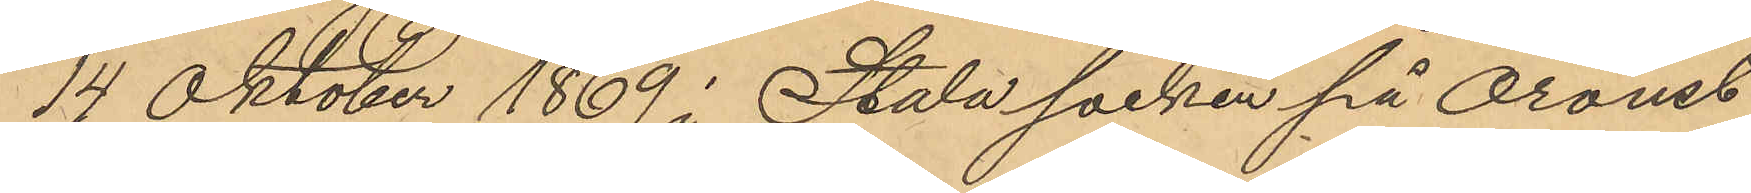14 Oktober 1869 i Stala socken på Oroust
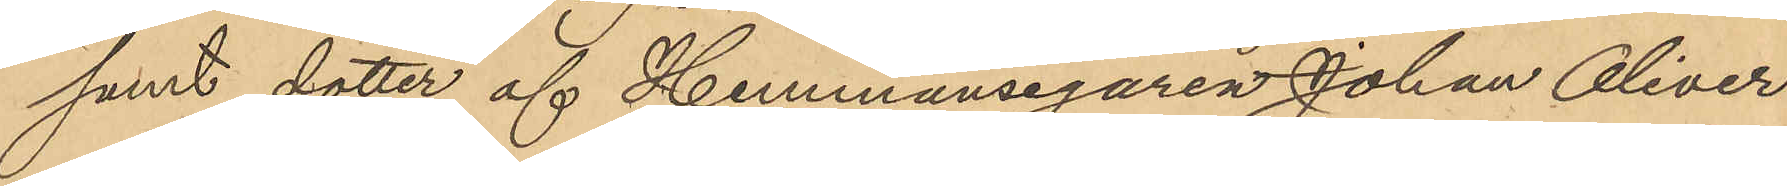samt dotter af Hemmansegaren Johan Oliver
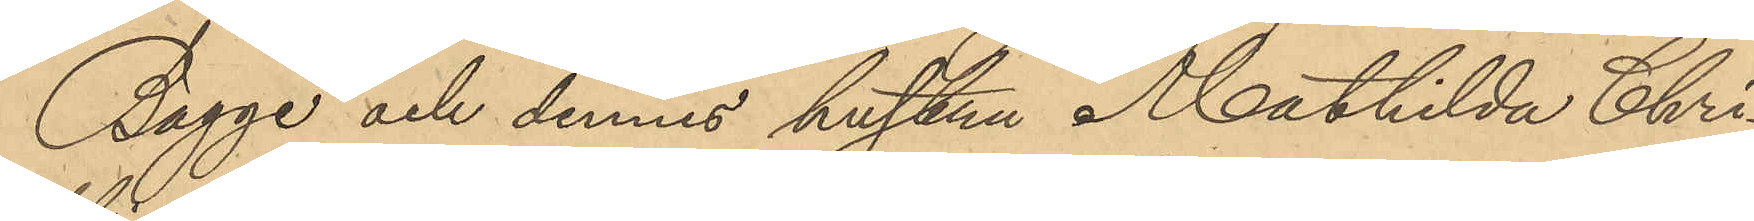Bagge och dennes hustru Mathilda Chri¬
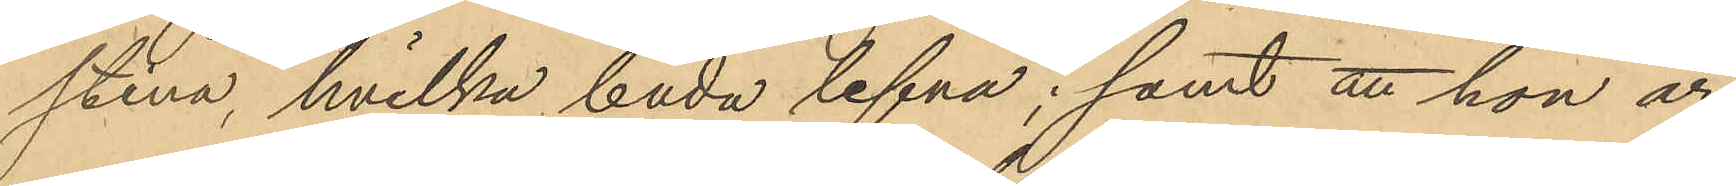stina, hvilka båda lefva; samt att hon är
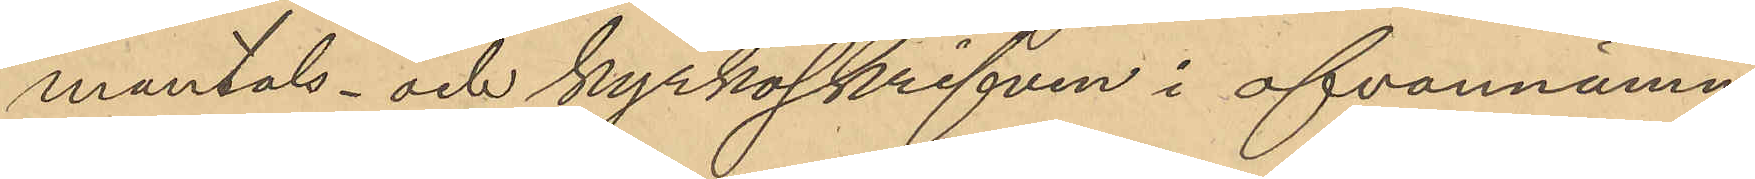mantals- och kyrkoskrifven i ofvannämn¬
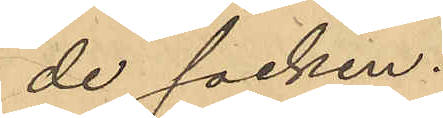de socken.
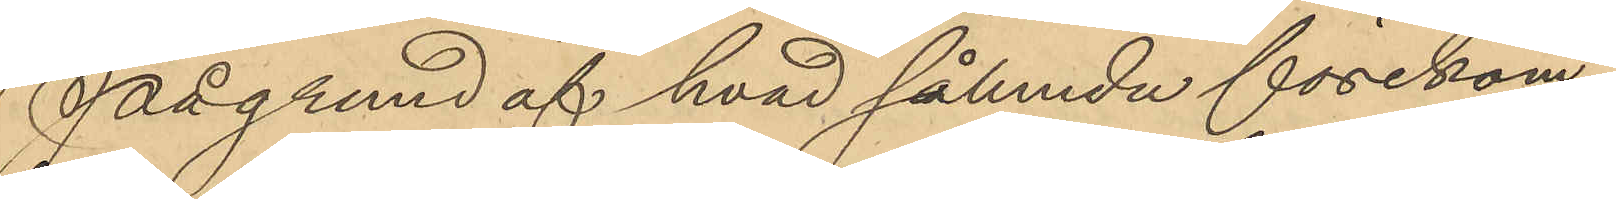På grund af hvad sålunda förekom¬
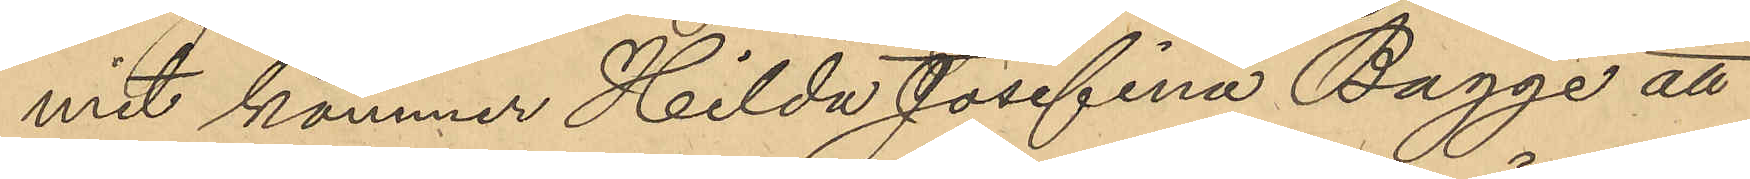mit kommer Hilda Josefina Bagge att
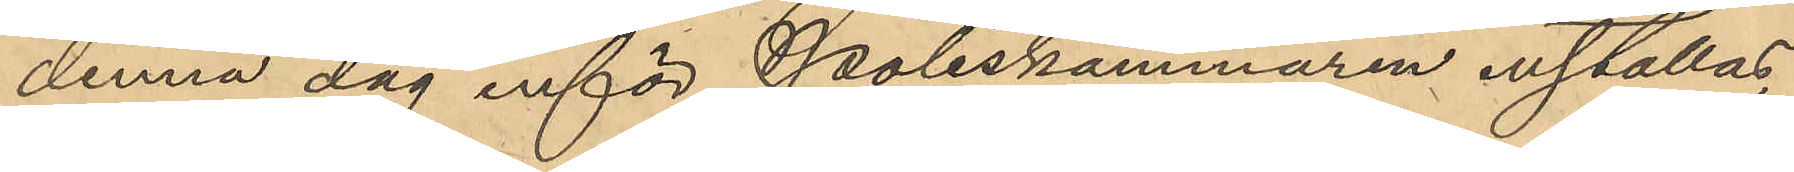denna dag inför Poliskammaren inställas.
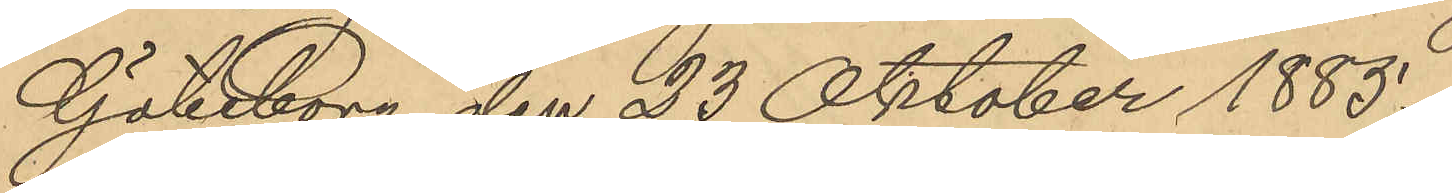Göteborg den 23 Oktober 1885.
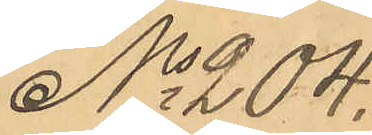No 204.
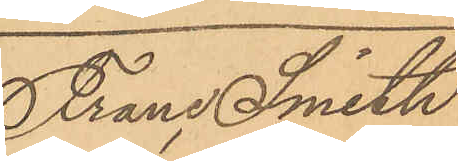Franc Smith
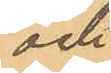och
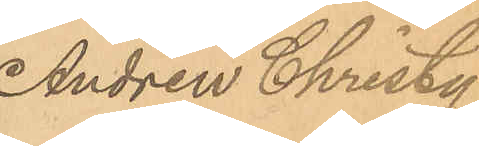Andrew Christy
